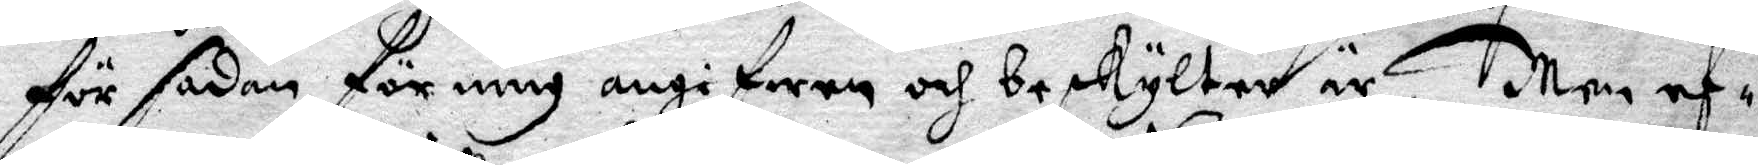dör sådan för mig angifwa och och beskylter är, Men ef¬
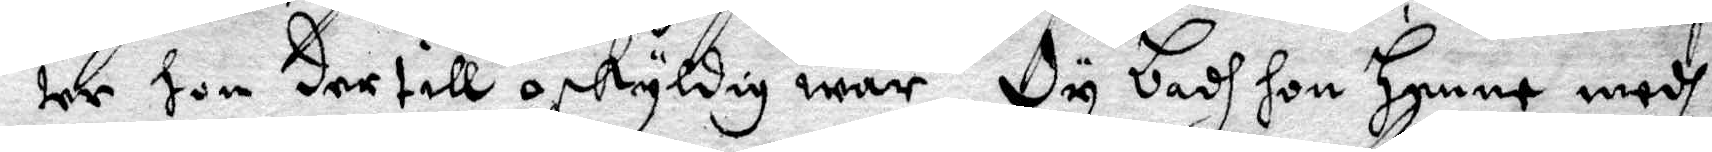ter hon dertill oskyldig war Dy badh hon henne medh
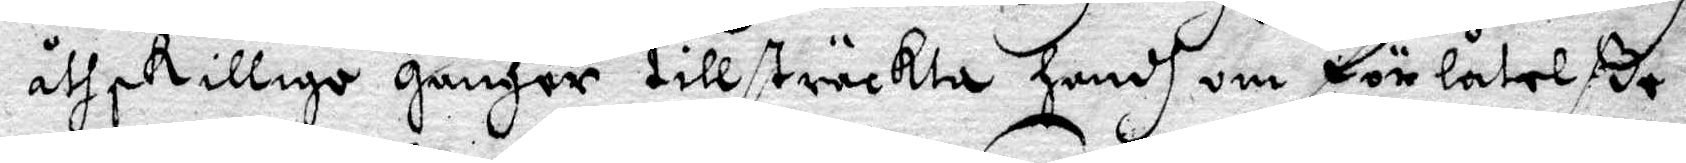åthskillige gånger till tillsträckta handh om förlåtelße
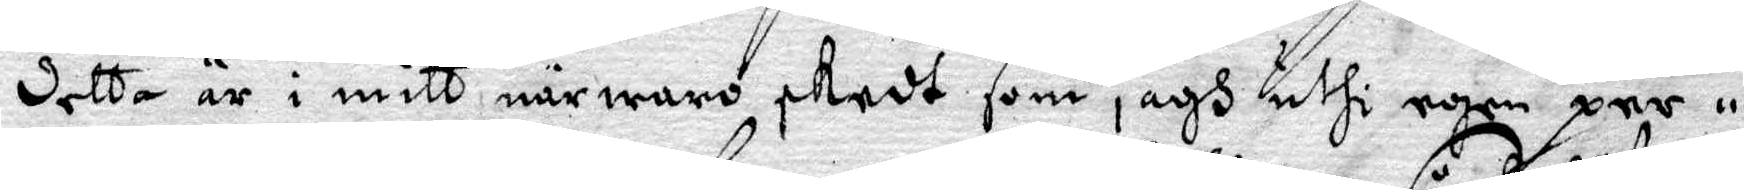detta är i mitt närwaro skedt som jagh uthi egen per¬
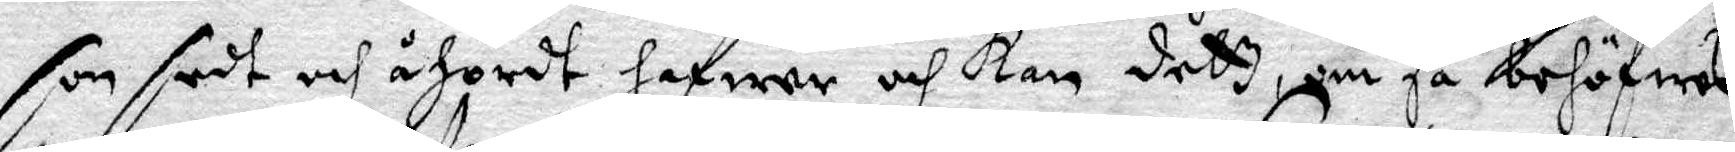son sedt och åhördt hafwer och kan dett, om så behöfwes
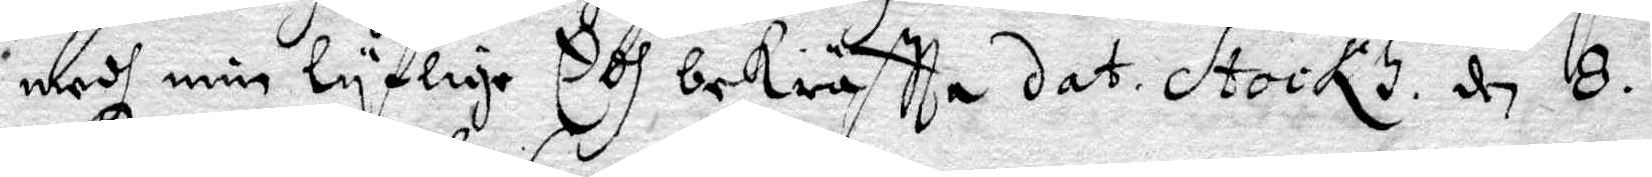medh min lyflige Edh bekräftta dat. Stockh. d 8.
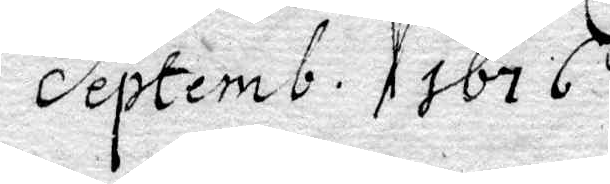Septemb. 1676
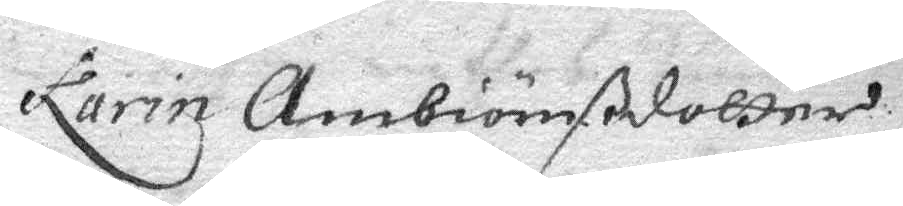Karin Ambiörnßdotter
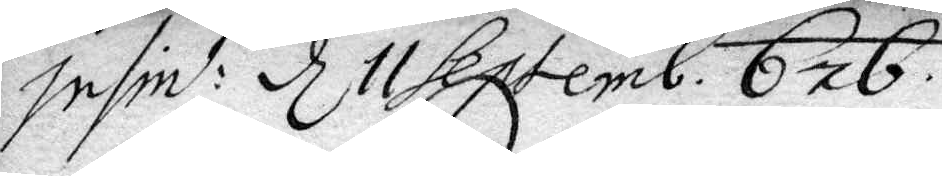insin:t d 11 Septemb. 676
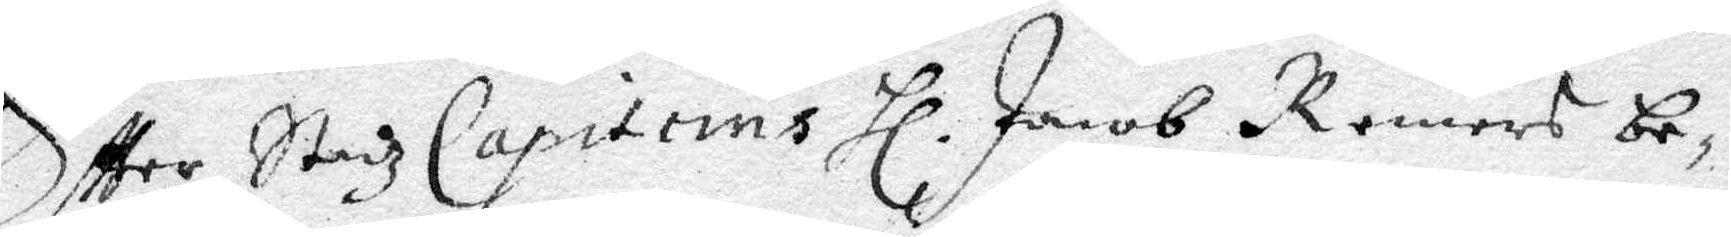Eftter Stadz Capiteins Hl Jacob Romers be¬
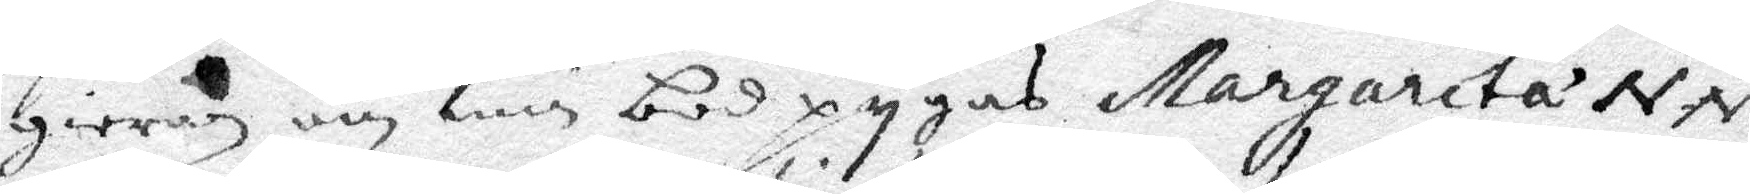gieran om min bodpygas Margareta NN
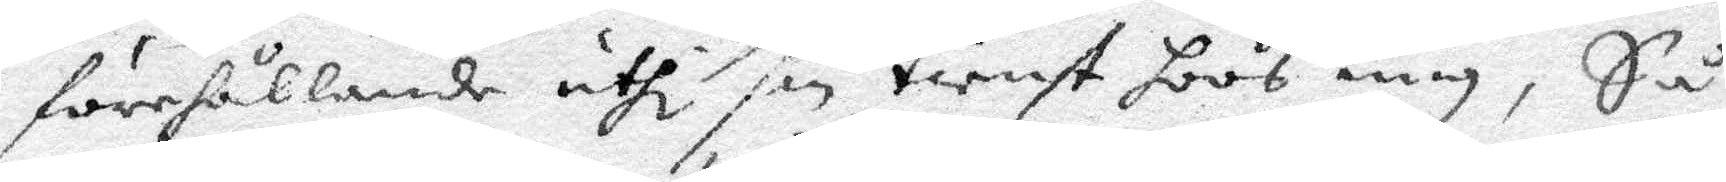förhållande uthi sin tienst hoos mig, Så
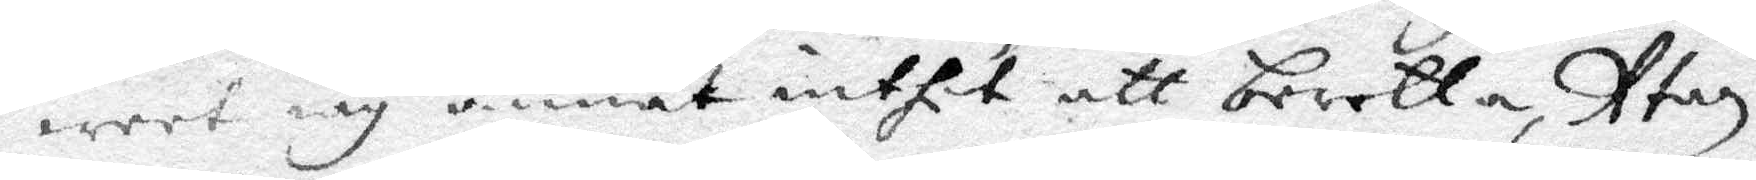weet iag annat inthet att beretta, Utan
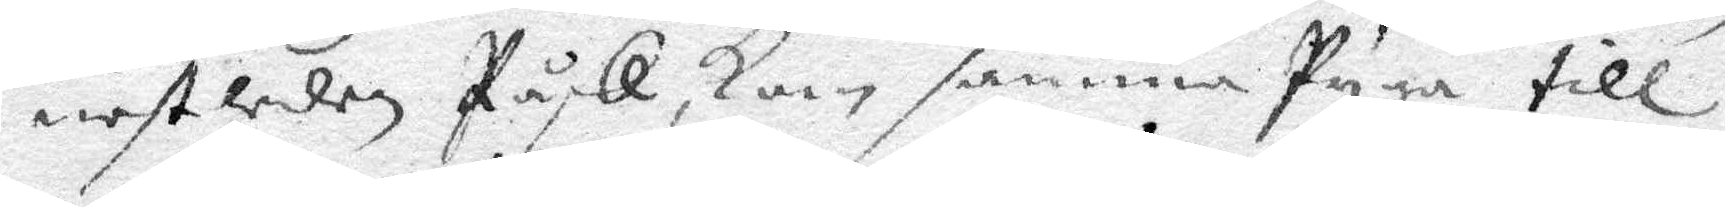nestledes Påsk, kom samma Pyga till
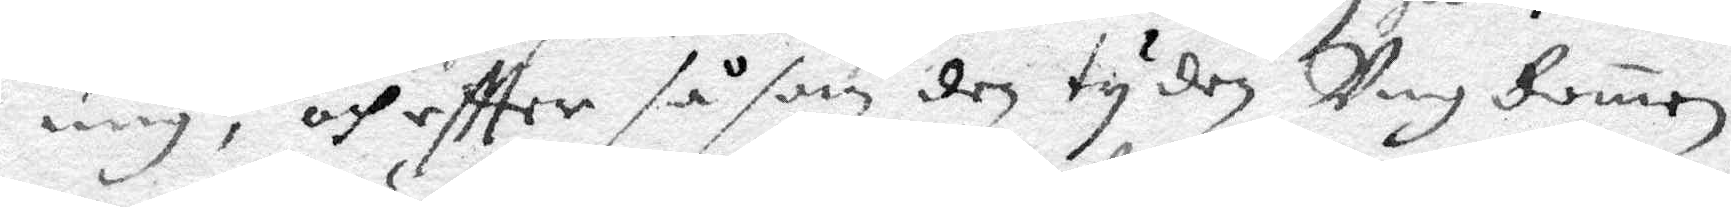mig, och eftter såsom den tyden Ung domen
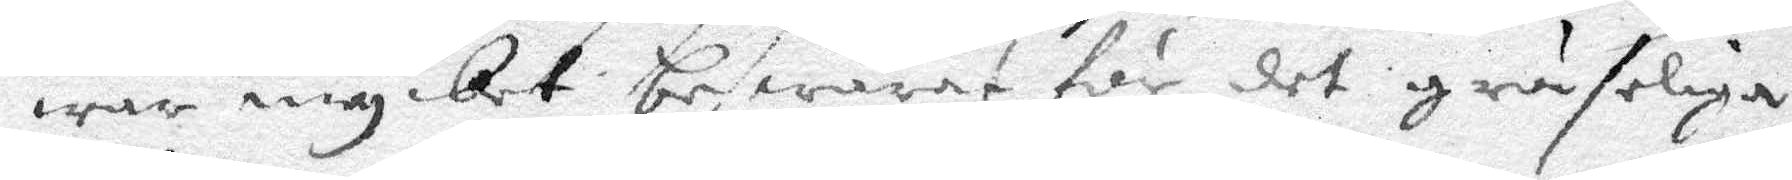war mycket beswärat för det grufeliga
